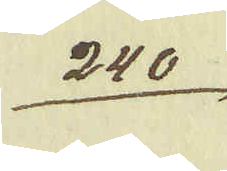240.
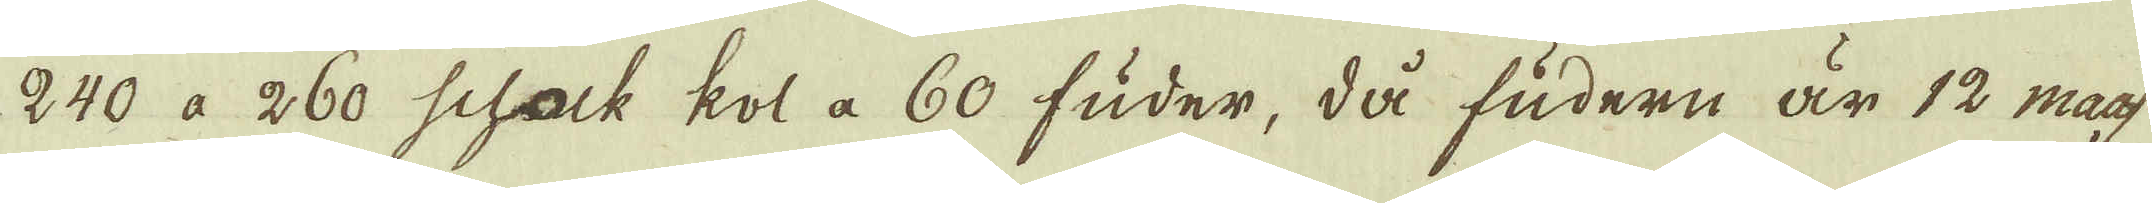240 à 260 schock kol à 60 fuder, då fudern är 12 maas
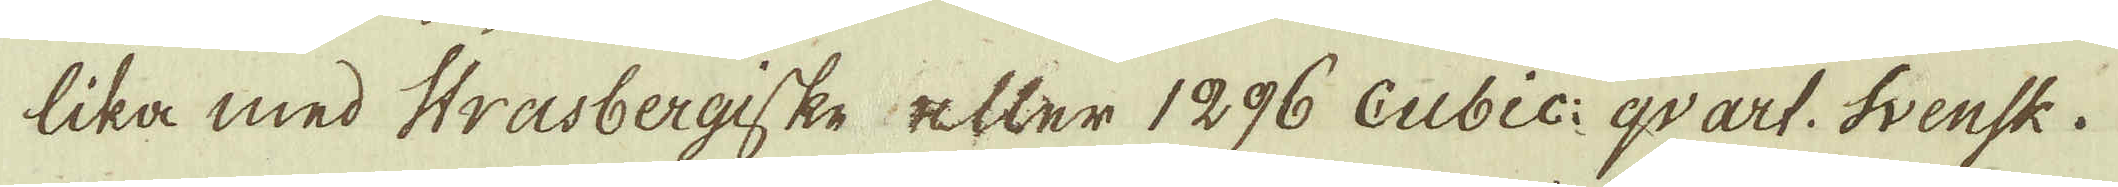lika med Strasbergiske efter 1296 Cubic: qvart. Svensk.
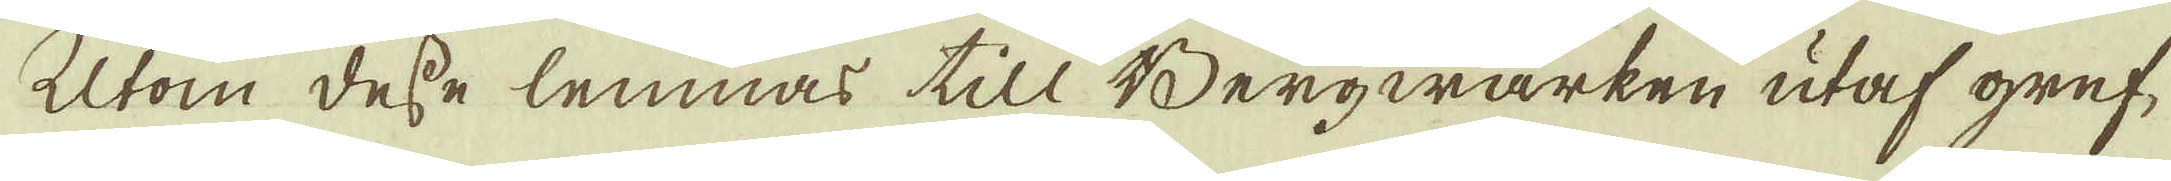Utom desse lemnas till Bergwärken utaf gref-
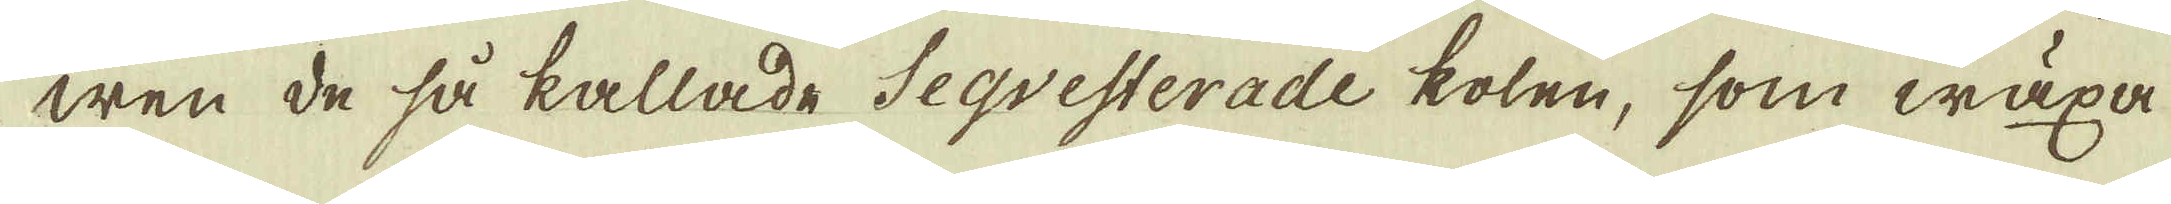wen de så kallade Seqvesterade kolen, som wäxa
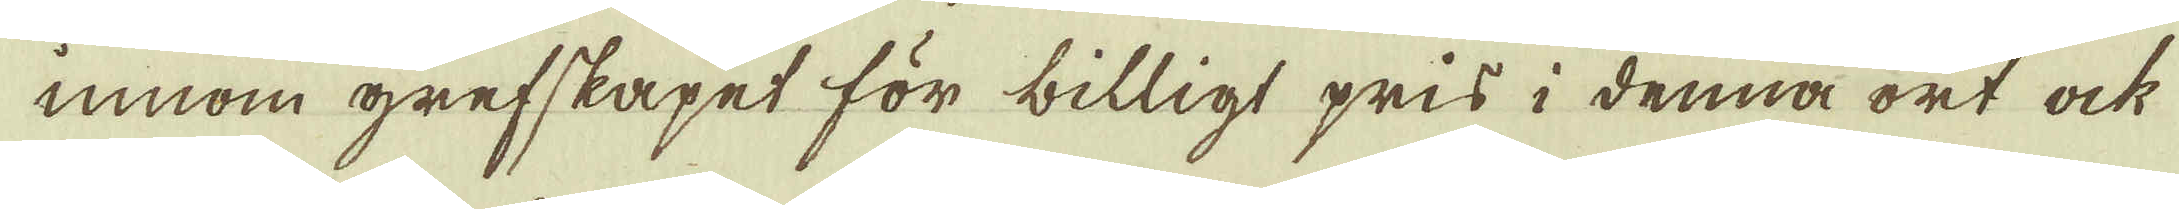innom grefskapet för billigt pris i denna ort ock
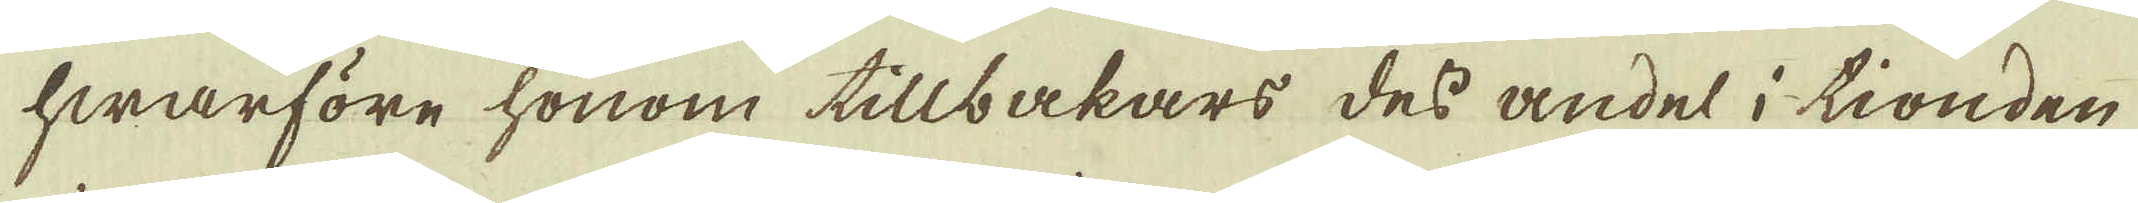hwarföre honom tillbakars des andel i tionden
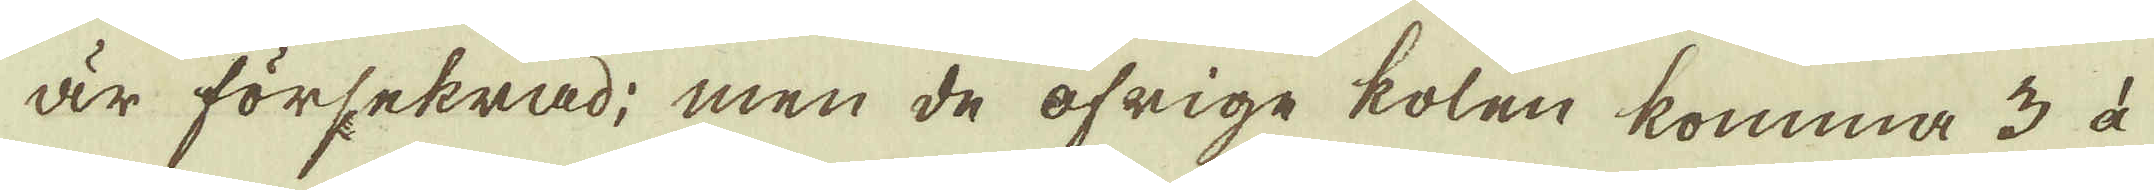är försekrad; men de öfrige kolen komma 3 àå
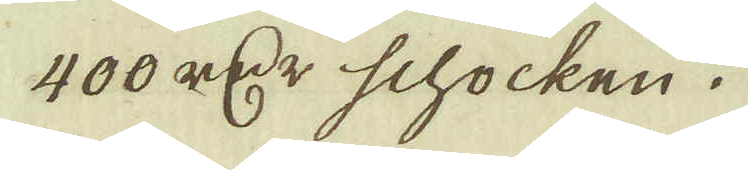400 r:dr schocken.
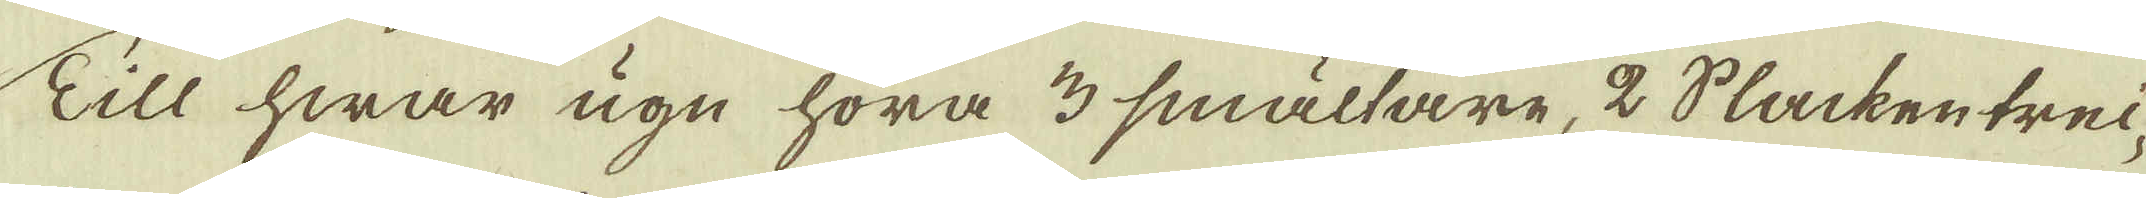Till hwar ugn höra 3 smältare, 2 Slacken trei-
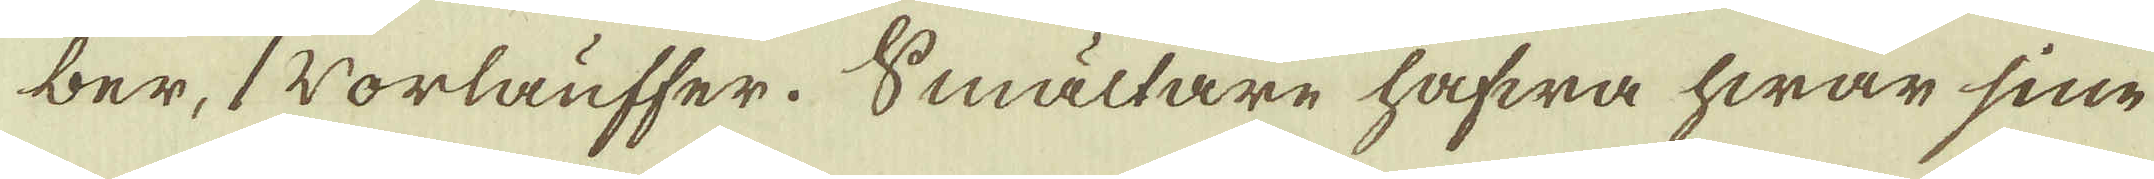ber, 1 Vorlauffer. Smältare hafwa hwar sine
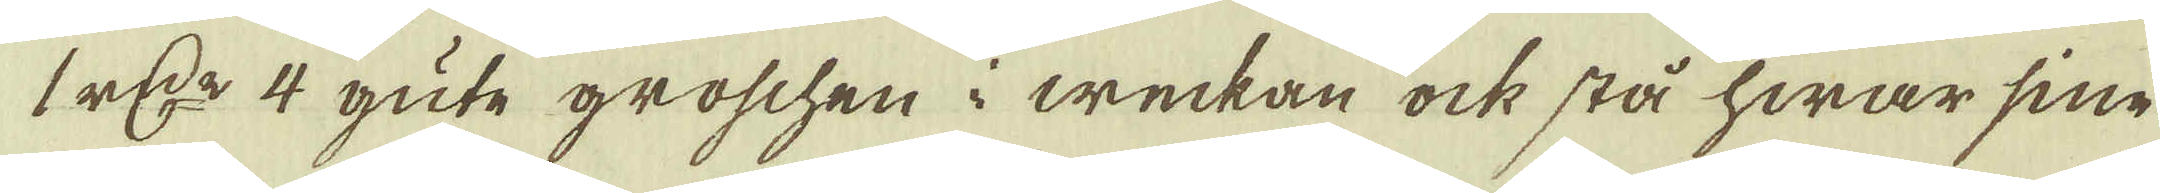1 r:dr 4 güte groschen i weckan ock stå hwar sine
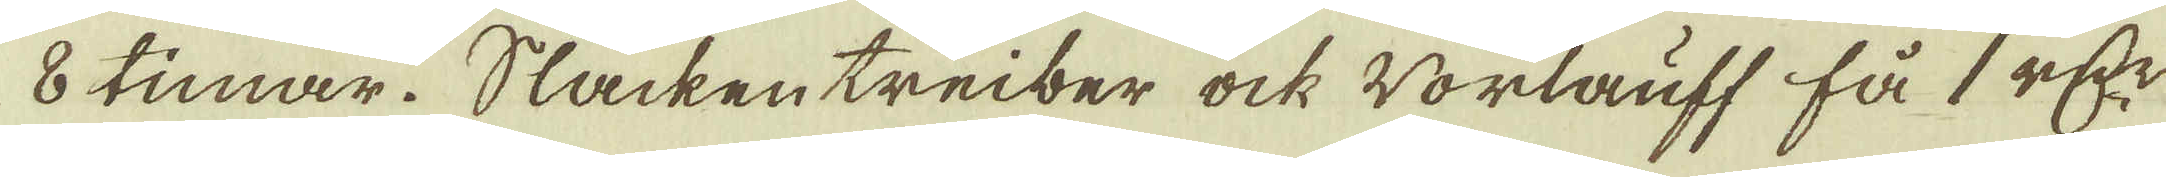8 timar. Slacken treiber ock Vorlauff få 1 r:dr
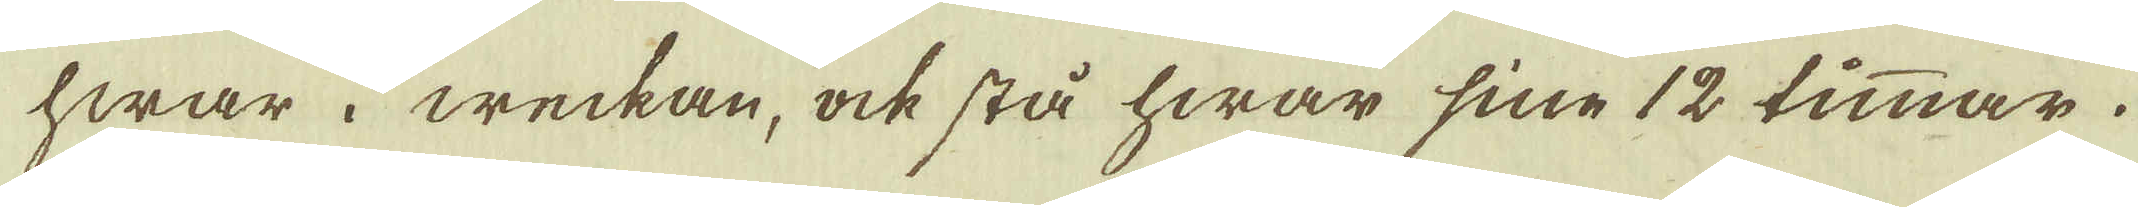hwar i weckan, ock stå hwar sine 12 timmar.
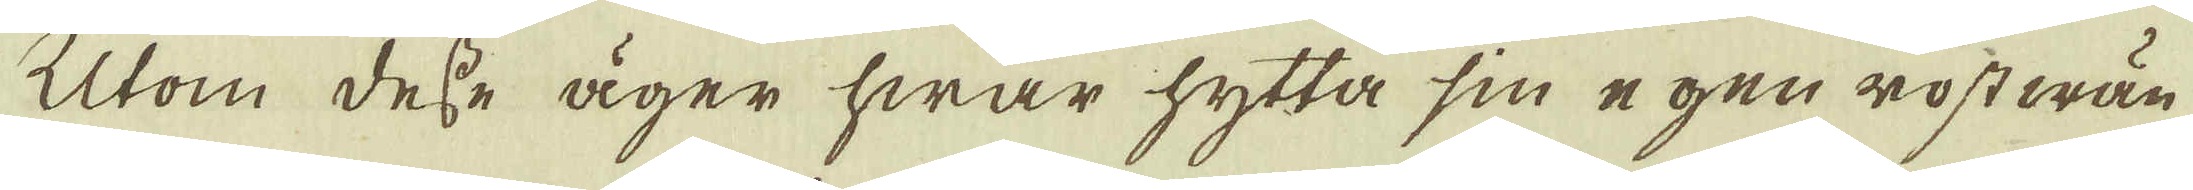Utom desse äger hwar hytta sin egen rost wän-
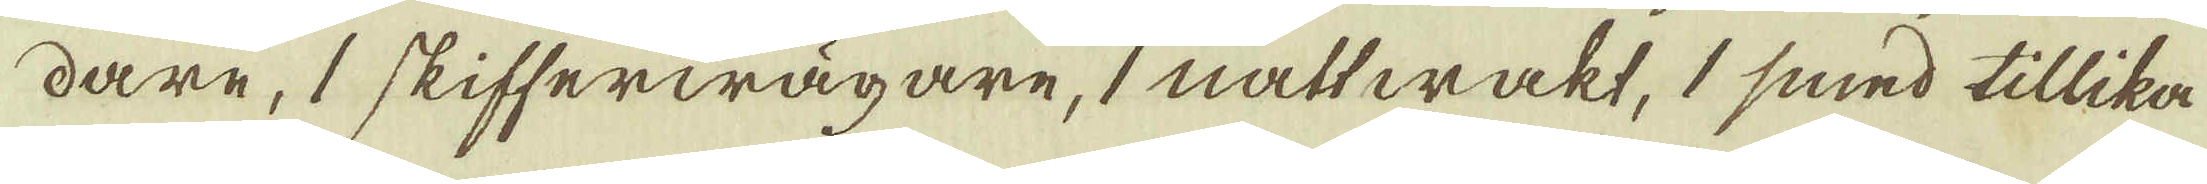dare, 1 skifferwägare, 1 nattwakt, 1 smed tillika
